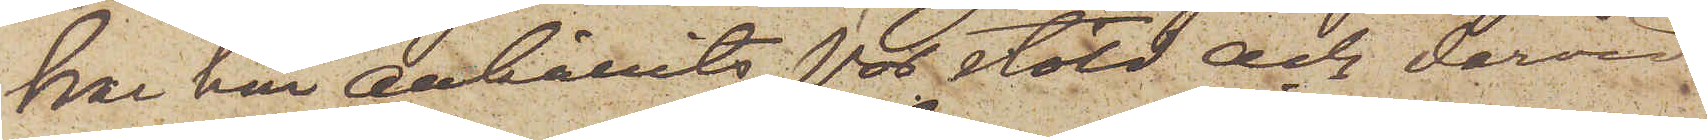har här anhållits för stöld och dervid
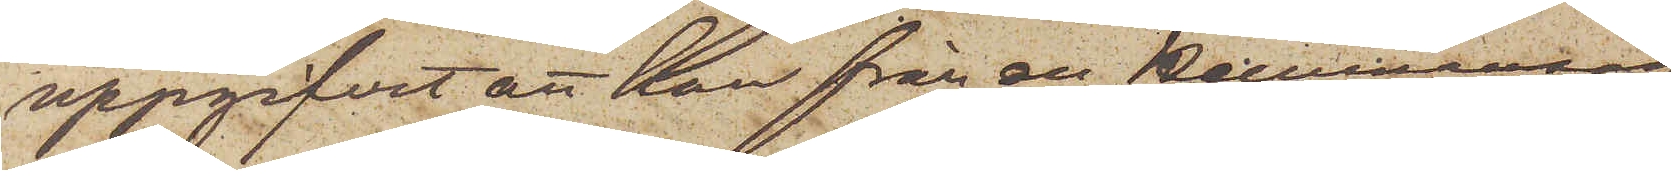uppgifvit att han från en Hemmaneg.
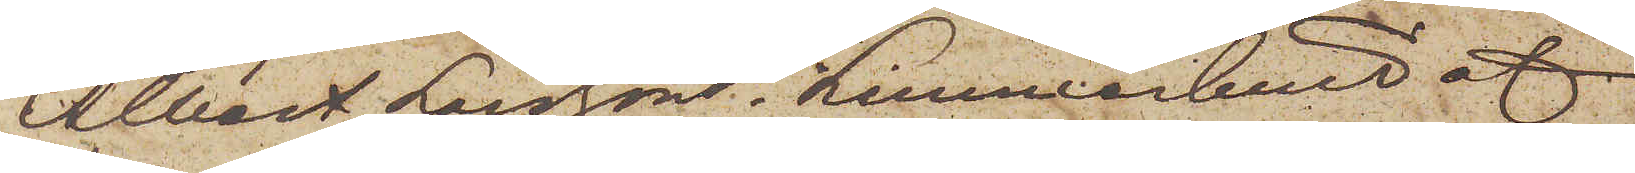Albert Larsson i Limmarhult af
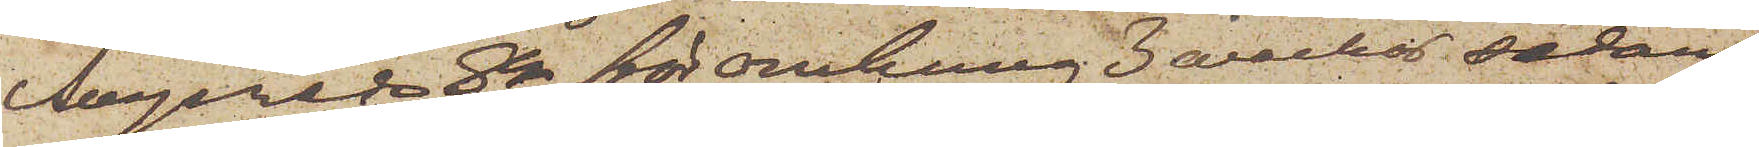Angereds Sn för omkring 3 veckor sedan
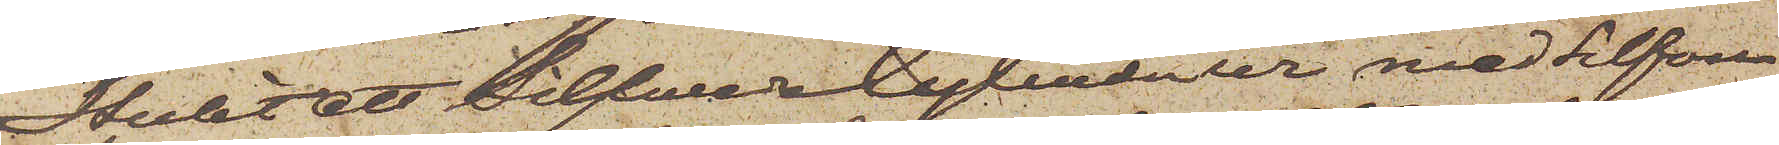stulit ett SilfwerCylinderur med Silfver¬
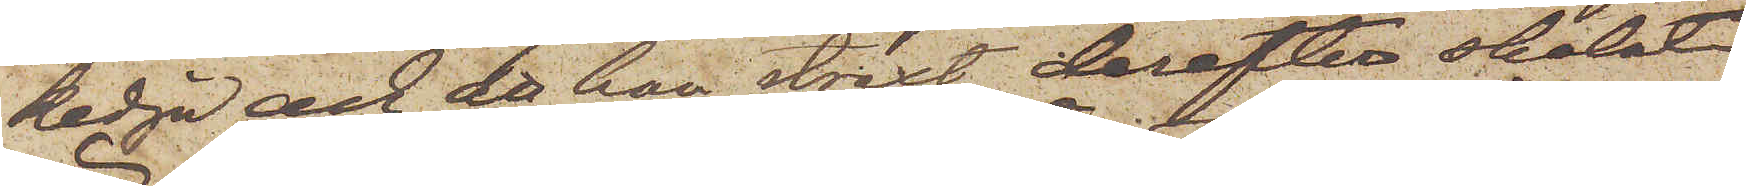kedja och att han straxt derefter skolat
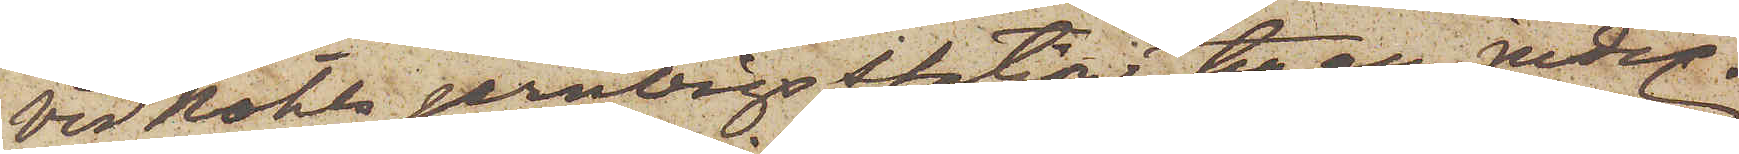vid Nohls jernvägsstation till en jude
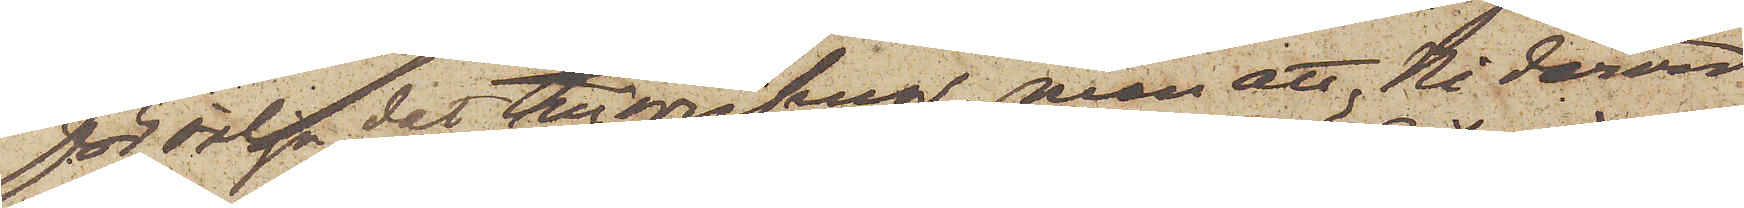försälja det tillgripna, men att Ni dervid
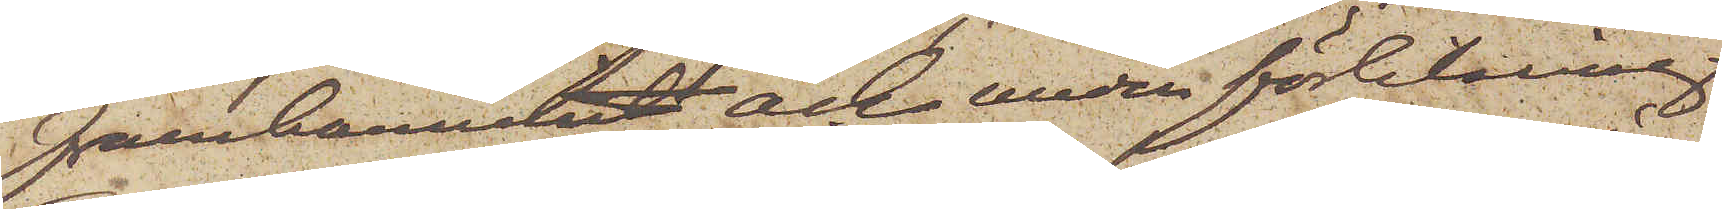framkommit och under förklaring
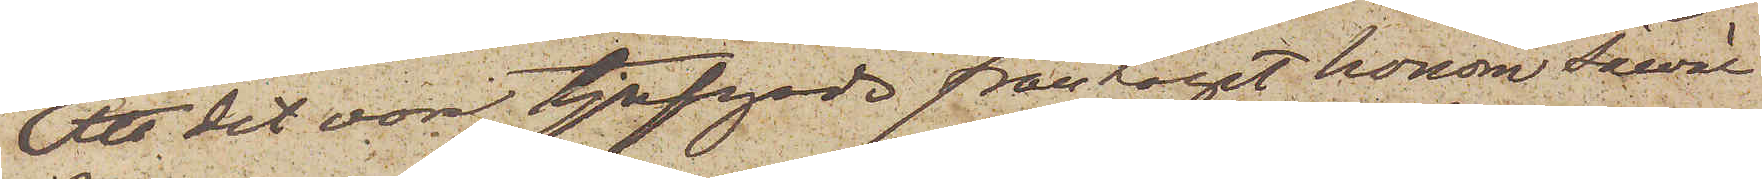att det vore tjufgods fråntagit honom såväl
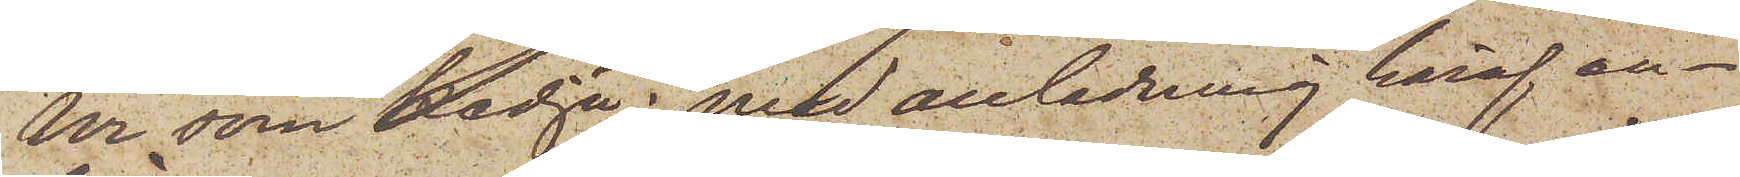Ur som kedja; med anledning häraf an¬
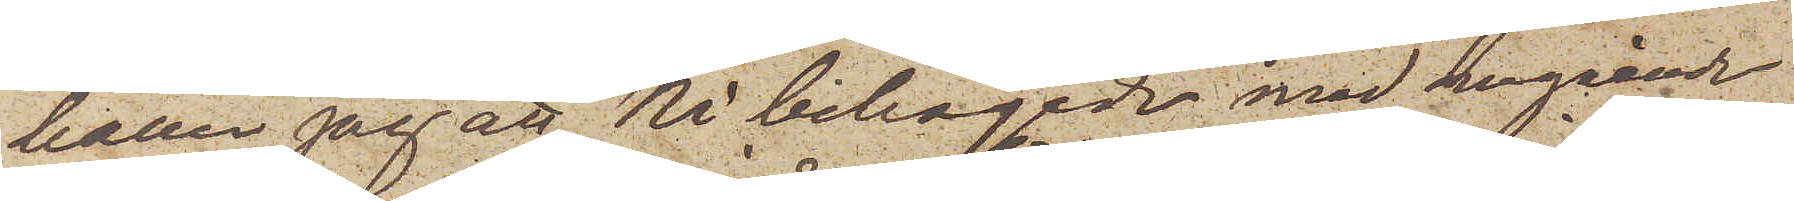håller jag att Ni behagade med omgående
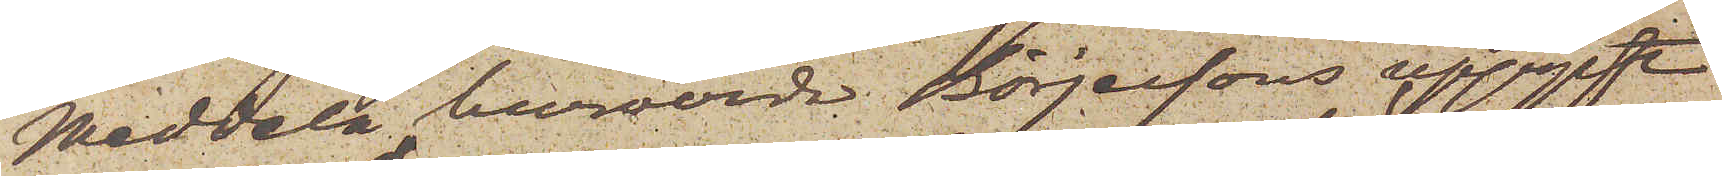Meddela huruvida Börjessons uppgift
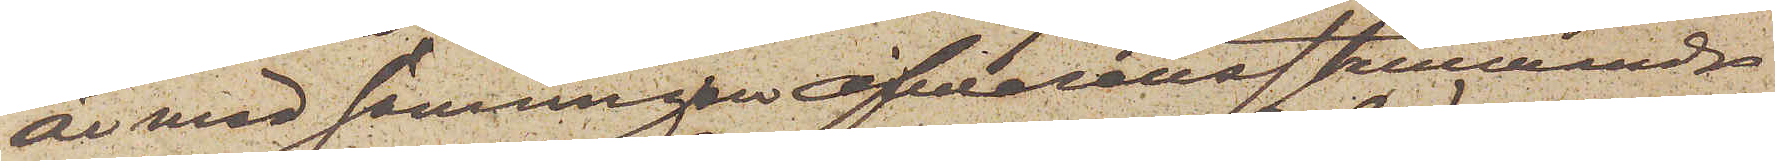är med sanningen öfwerenstämmande
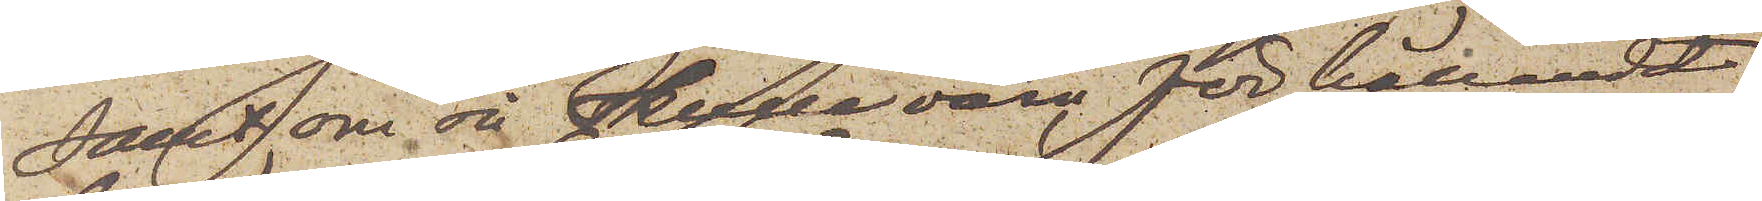samt, om så skulle vara förhållandet
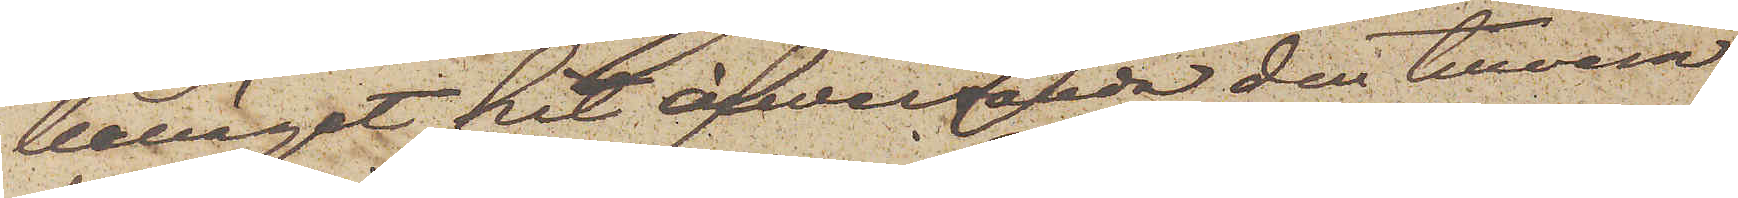benäget hit öfwersända den tillvara¬
